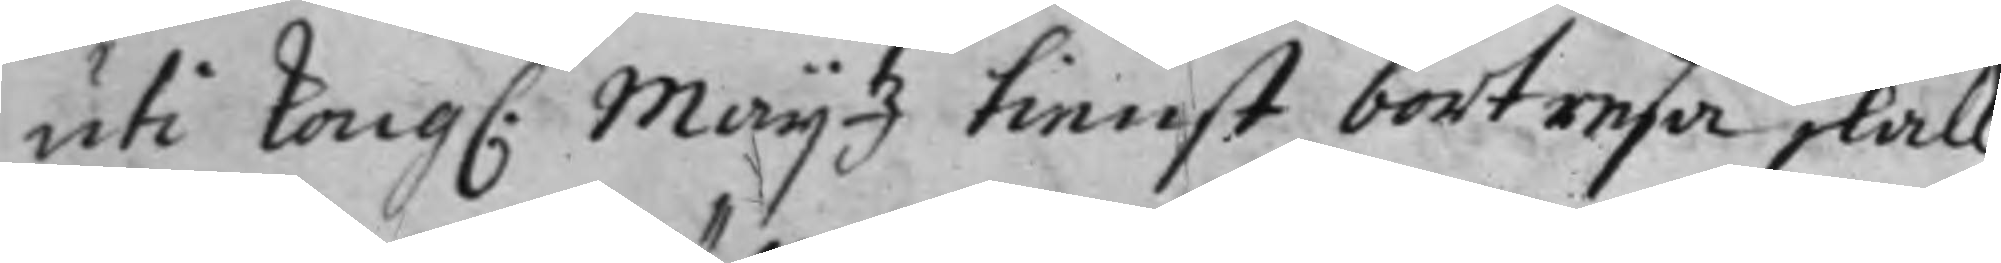uti Kong. Maij.tz tienst bortresa skall
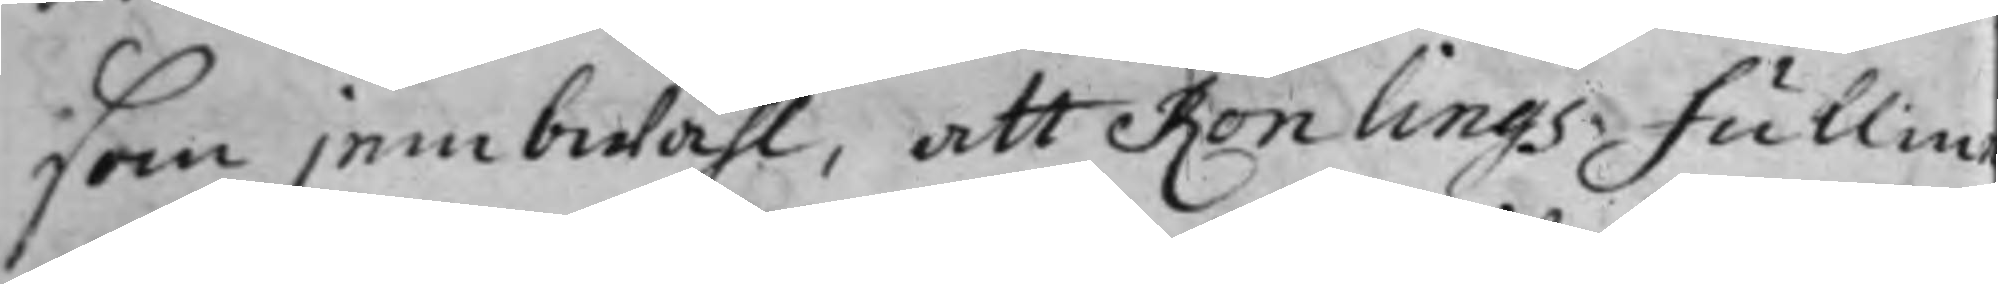som jembwähl, att Rönlings Fullm¬
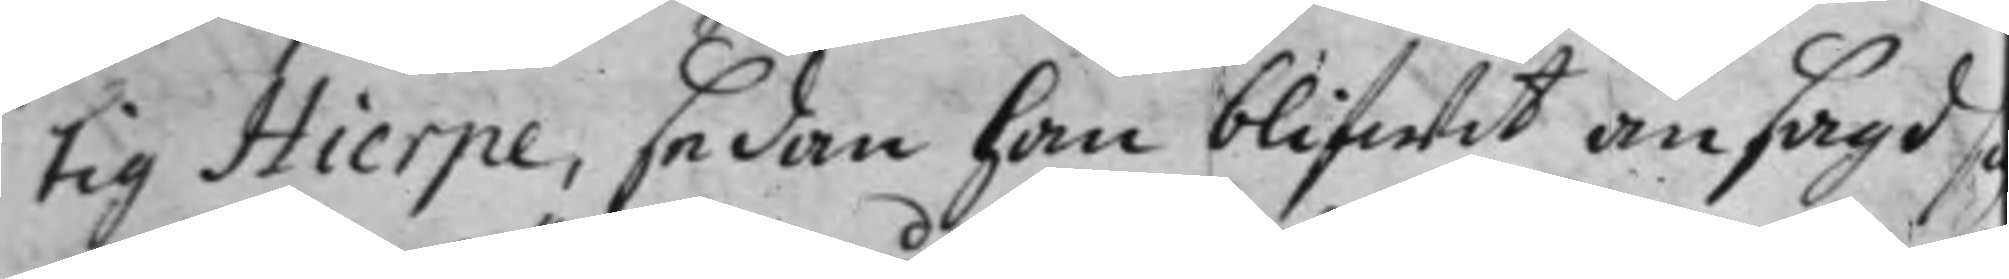tig Hierpe, sedan han blifwit ansagd sig
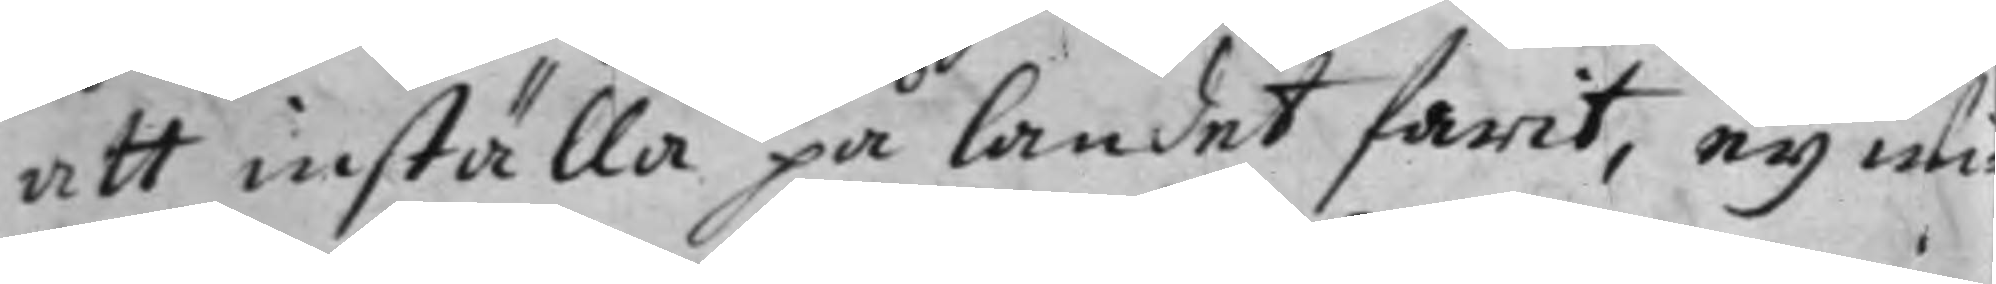att inställa på landet farit, ey wi¬
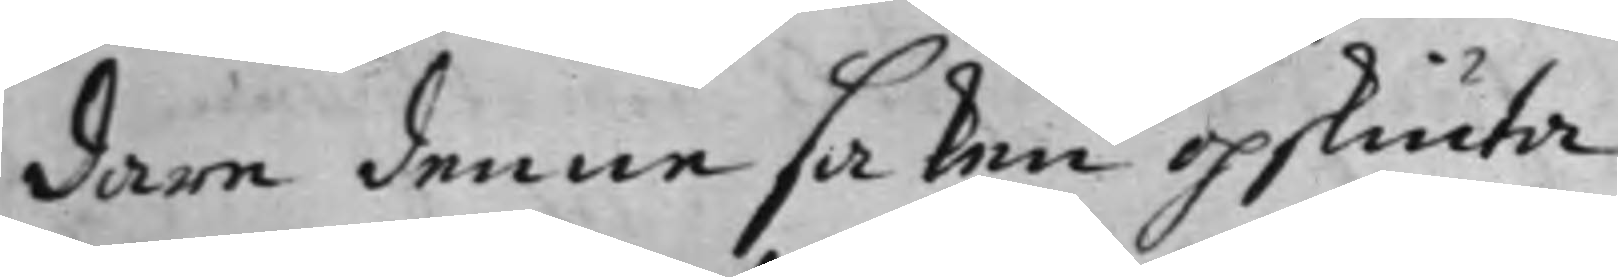dare denna saken opskiuta.
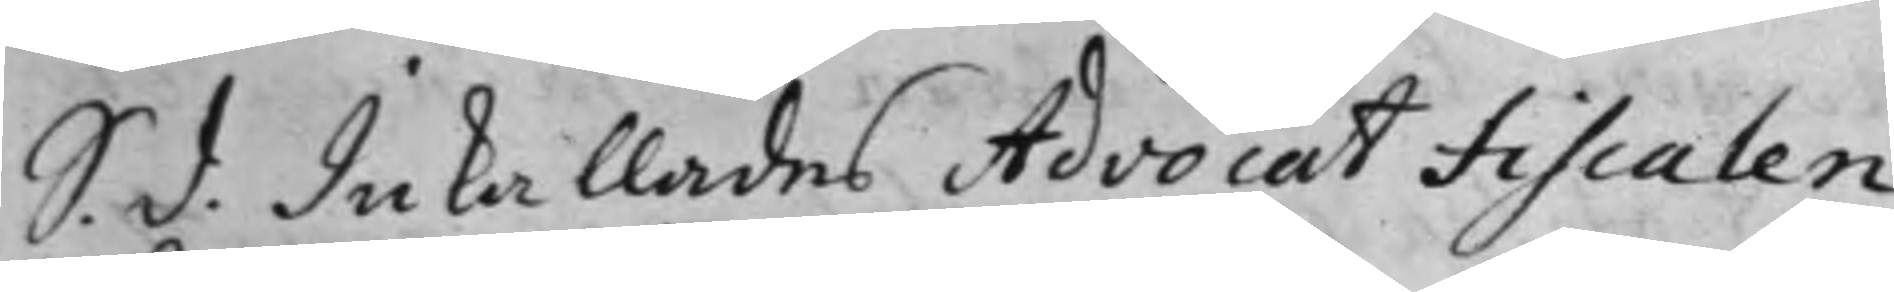S. d. Inkallades Advocat Fiscalen
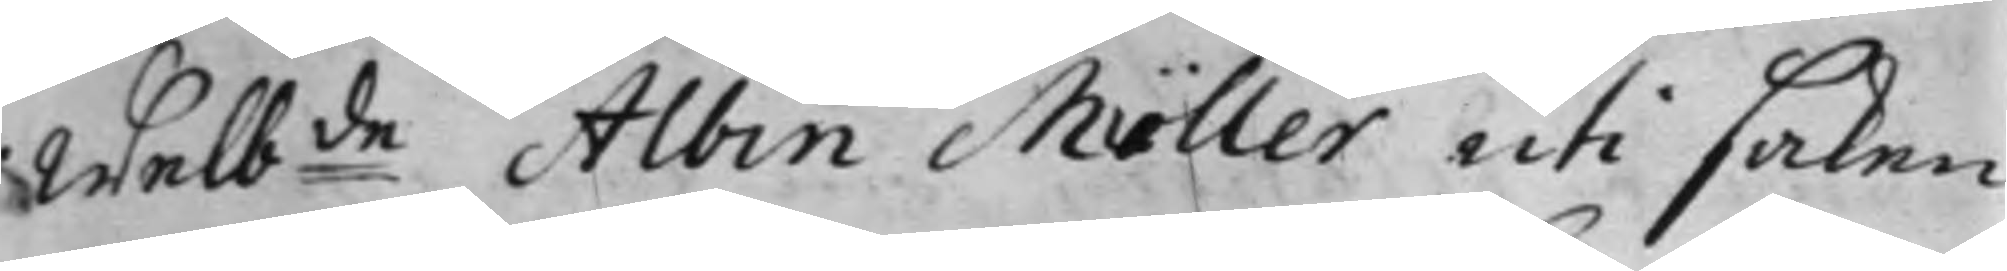Welb:de Albin Möller uti saken
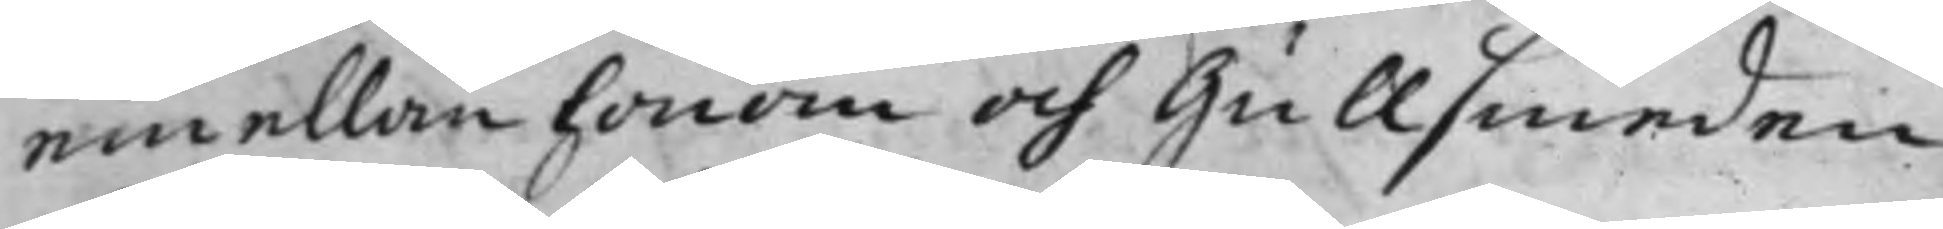emellan honom och Gullsmeden
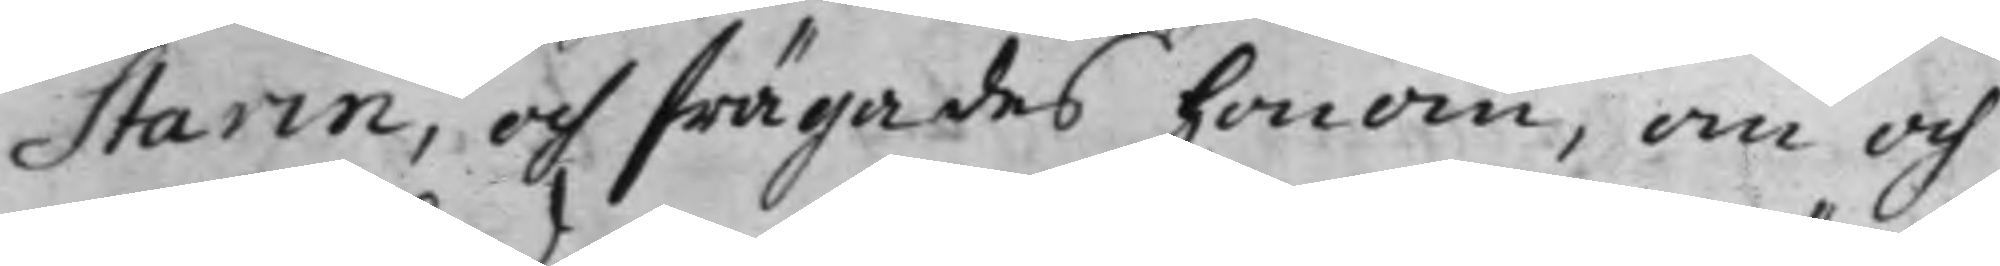Starin, och frägades honom, om och
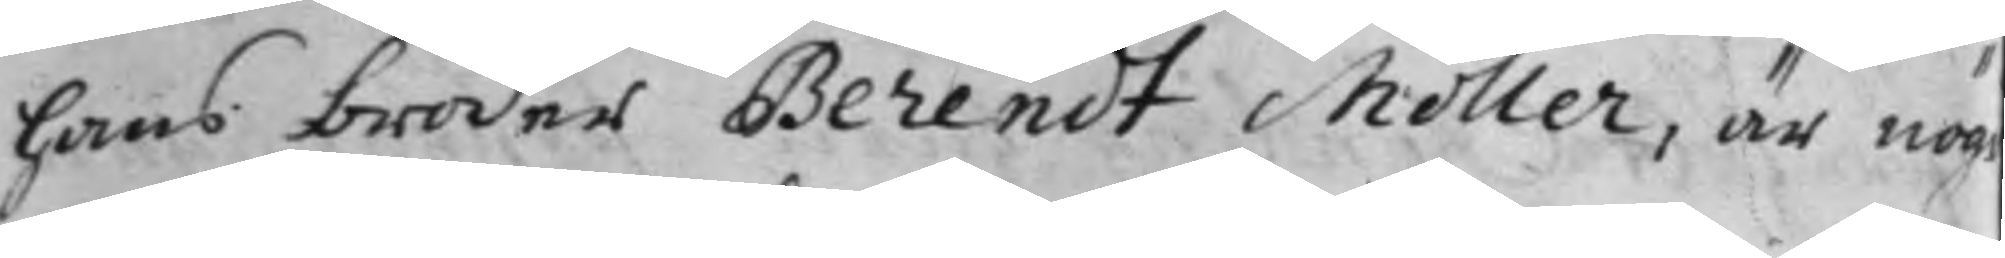hans broder Berendt Möller, är nögd
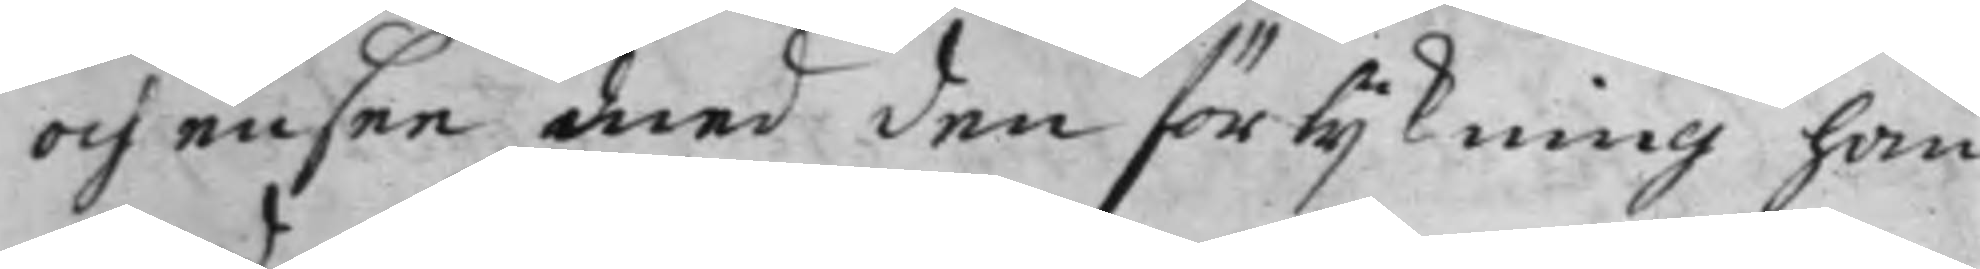och ensee med den förlijkning han
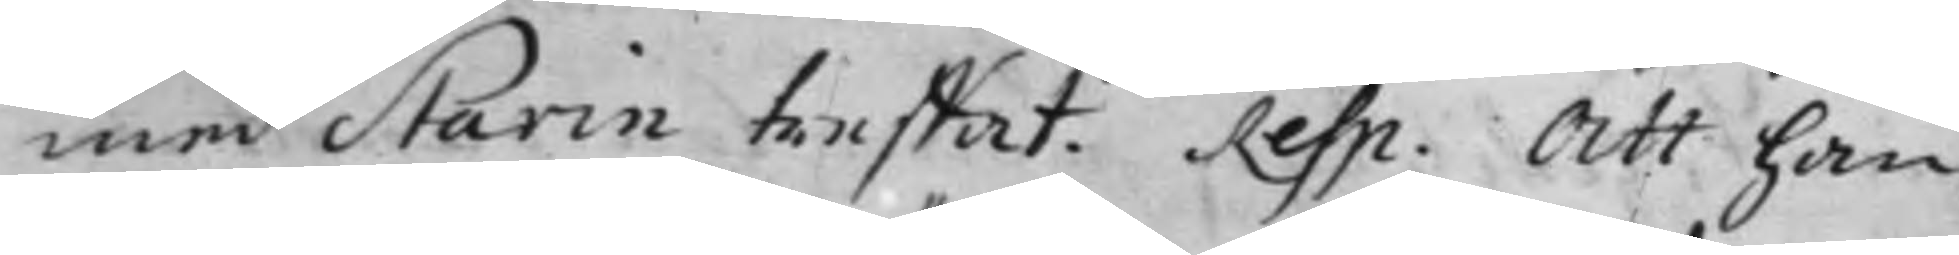med Starin treffat. Resp. Att han
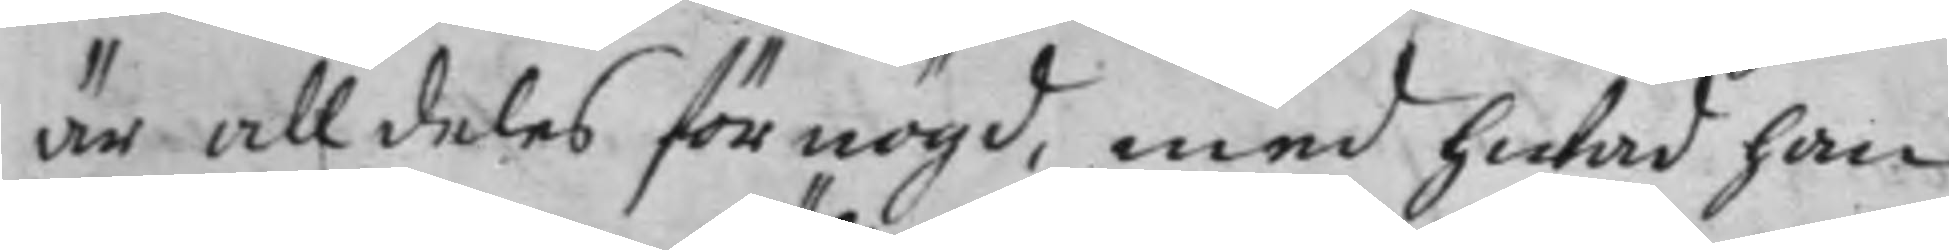är alldeles förnögd, med hwad han
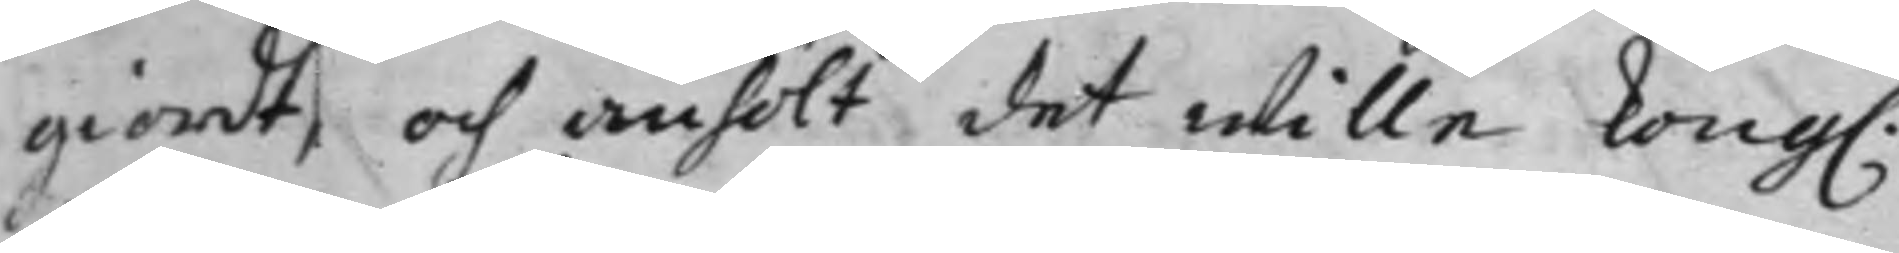giordt, och anhölt det wille Kong.
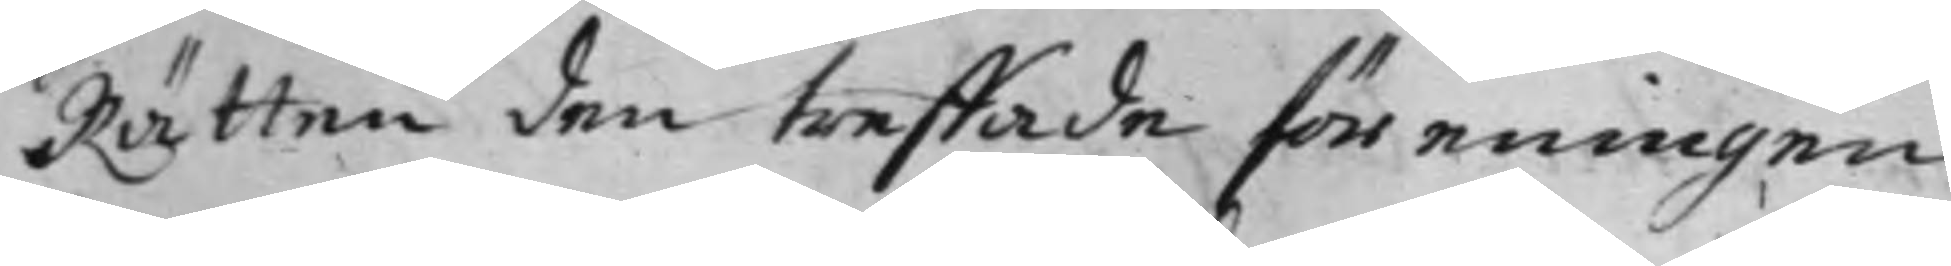Rätten den treffade föreningen
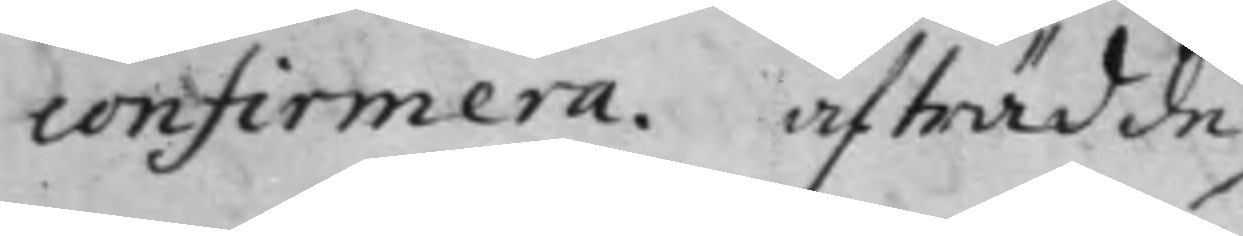confirmera. afträdde
